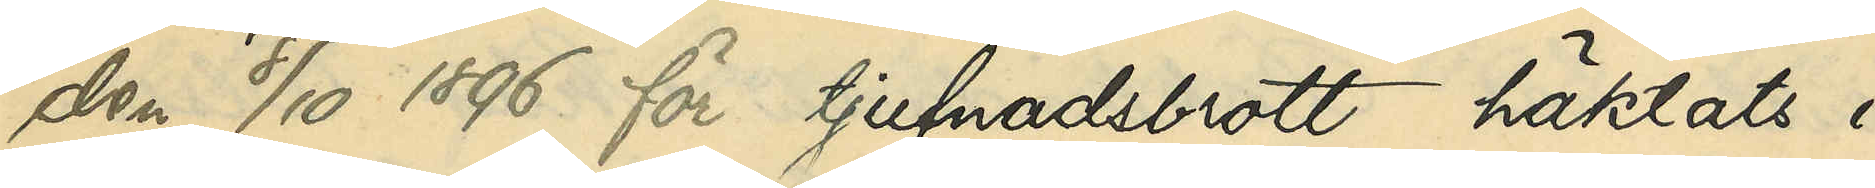den 8/10 1896 för tjufnadsbrott häktats i
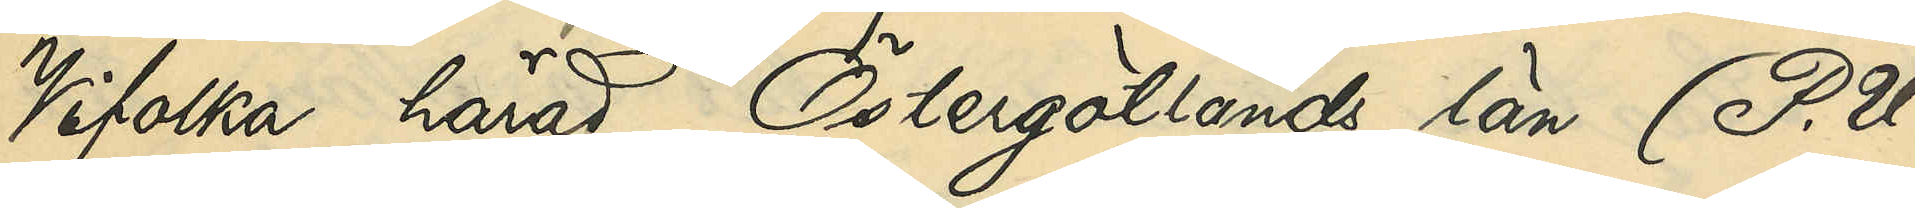Vifolka härad, Östergötlands län (P. U.
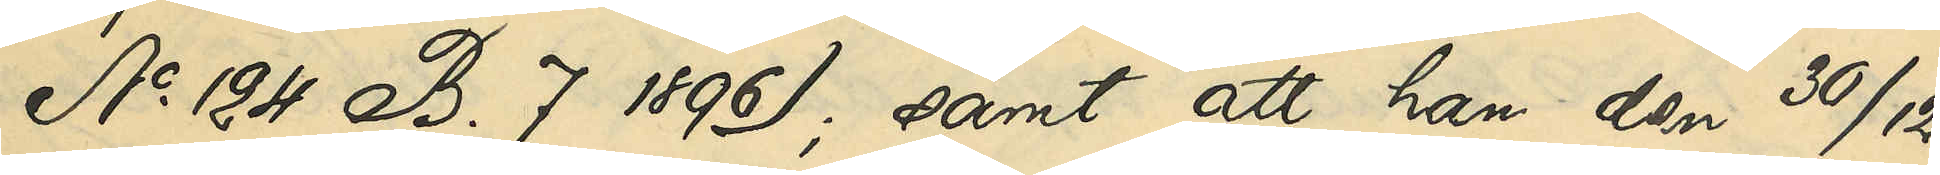No 124 B. 7 1896); samt att han den 30/12
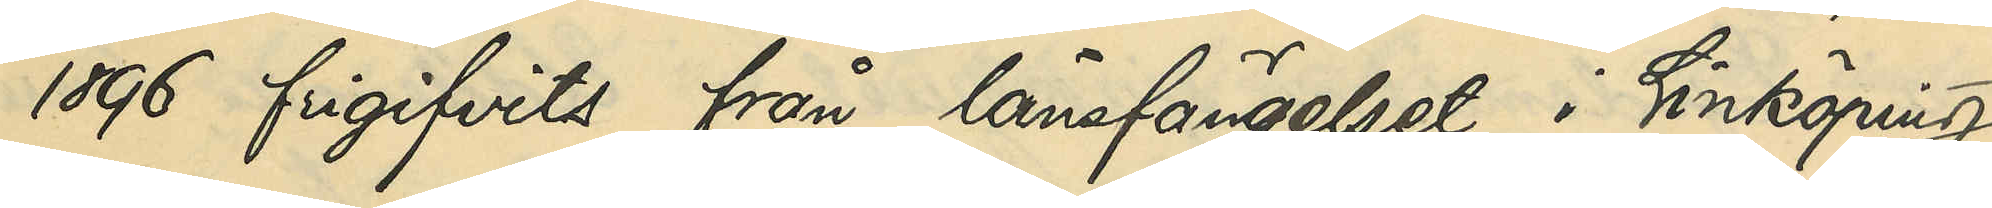1896 frigifvits från länsfängelset i Linköping
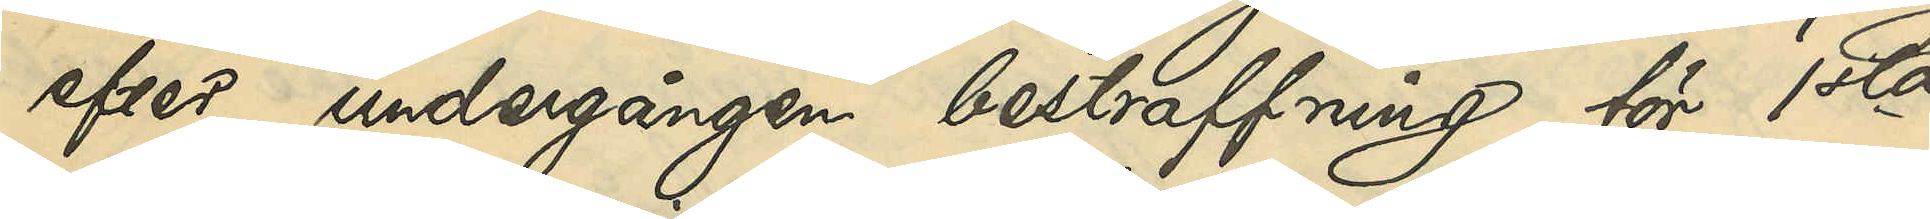efter undergången bestraffning för 1sta
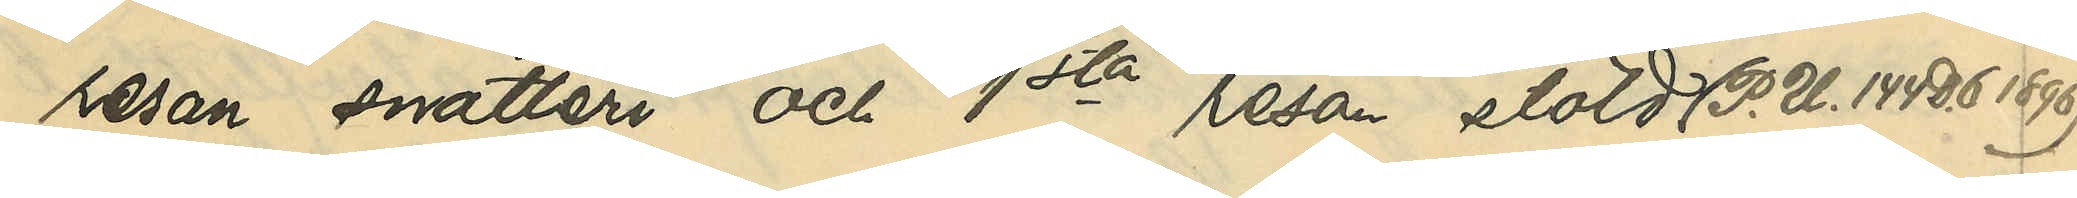resan snatteri och 1sta resan stöld (P. U. 144 D. 6 1896).
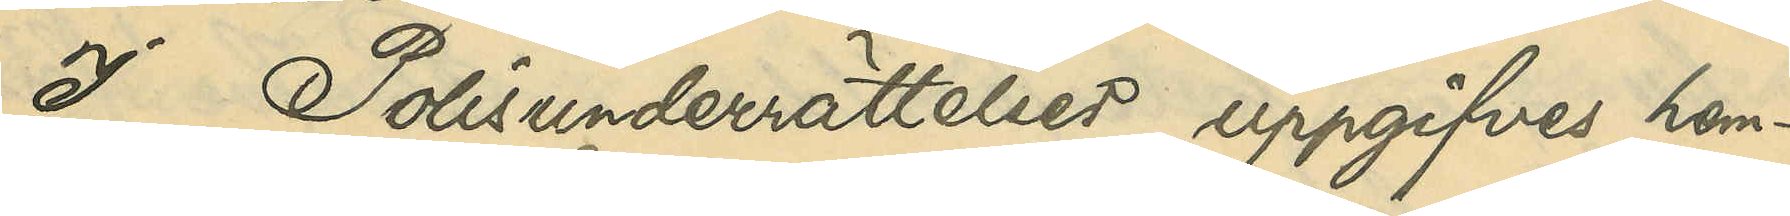I Polisunderrättelser uppgifves hem¬
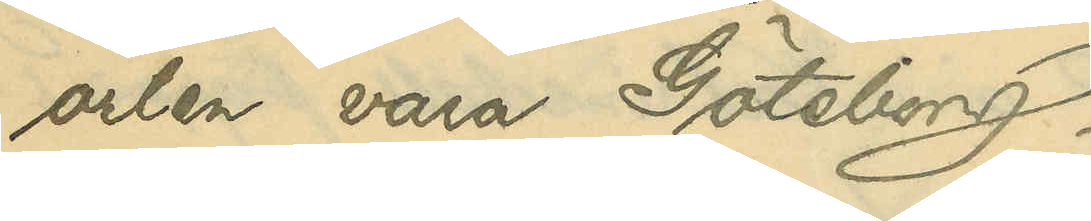orten vara Göteborg.
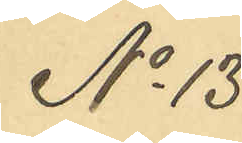No 13
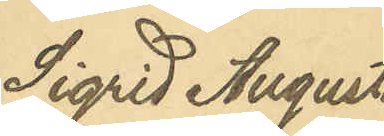Sigrid Augusta
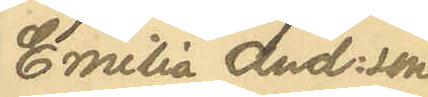Emilia And:son
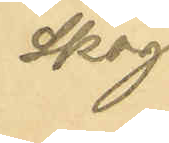Skog
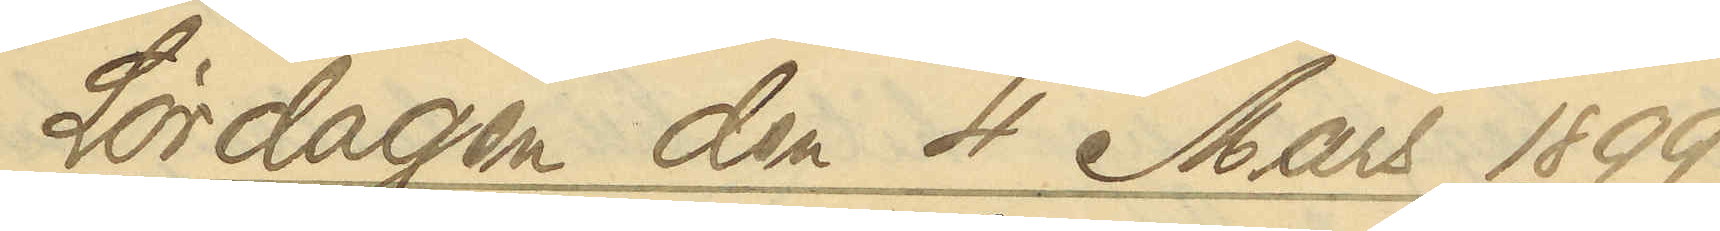Lördagen den 4 Mars 1899
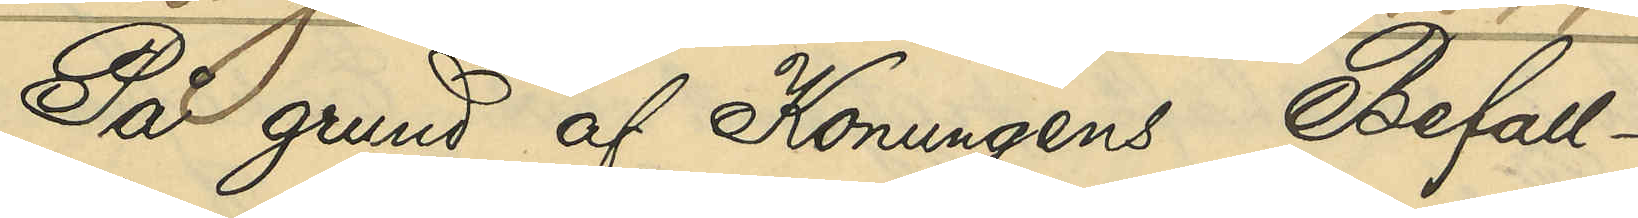På grund af Konungens Befall¬
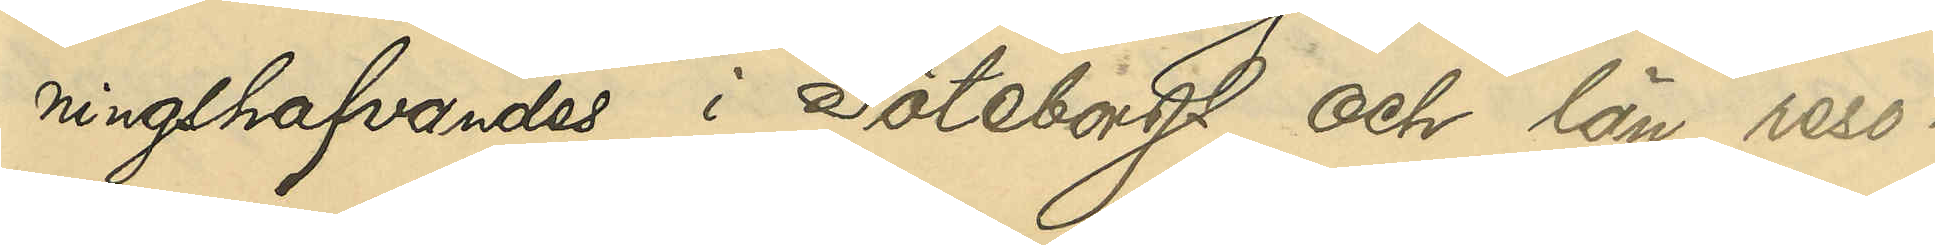ningshafvandes i Göteborgs och län reso¬
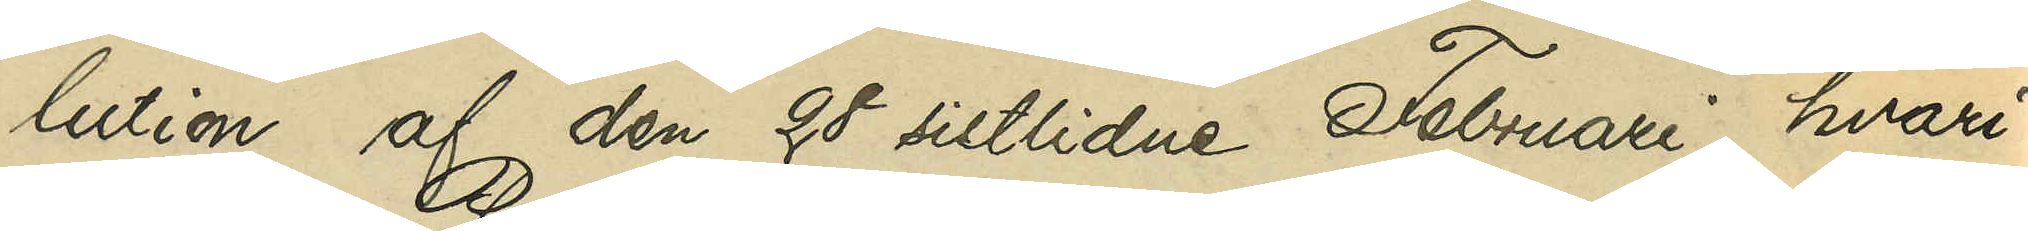lution af den 28 sistlidne Februari, hvari¬
